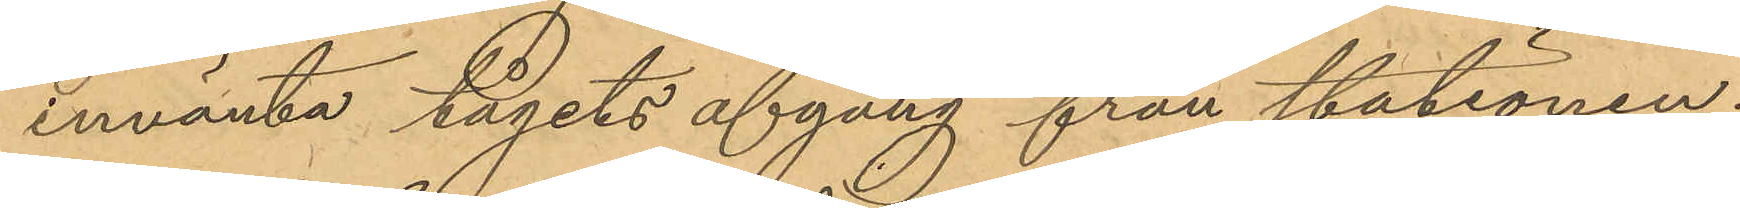invänta tågets afgång från stationen;
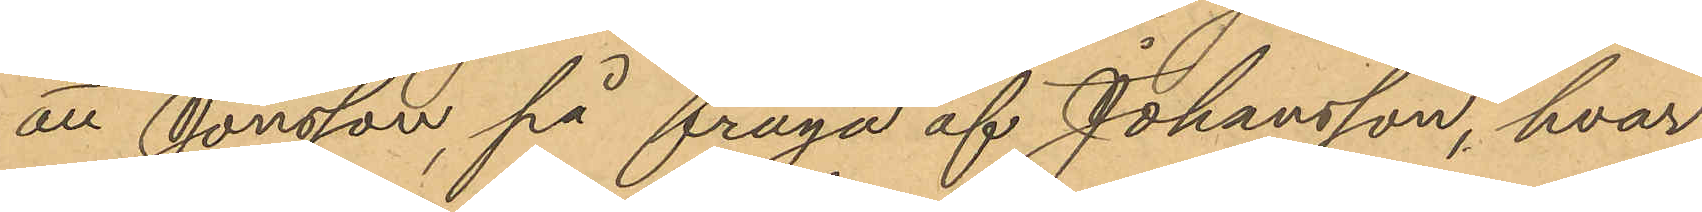att Jonsson, på fråga af Johansson, hvar
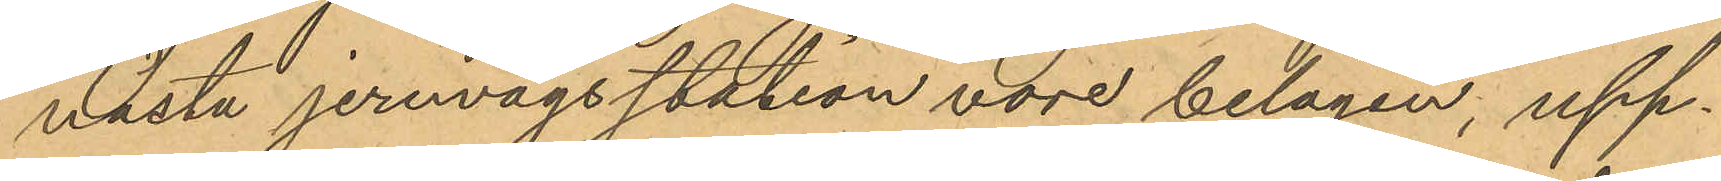nästa jernvägsstation vore belägen, upp¬
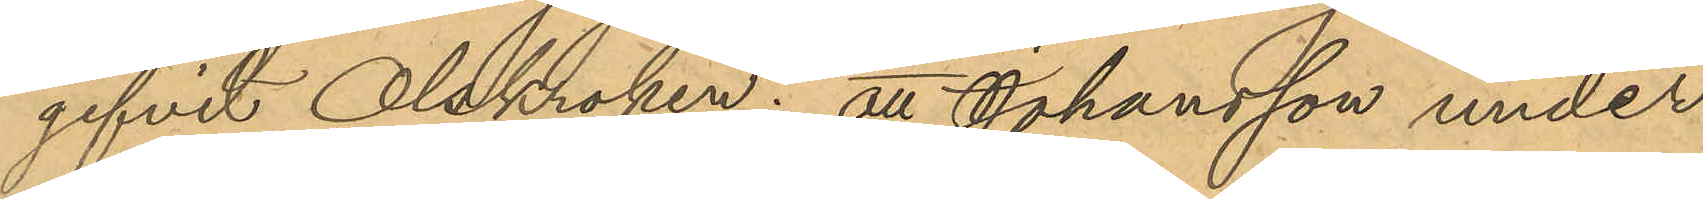gifvit Olskroken; att Johansson under
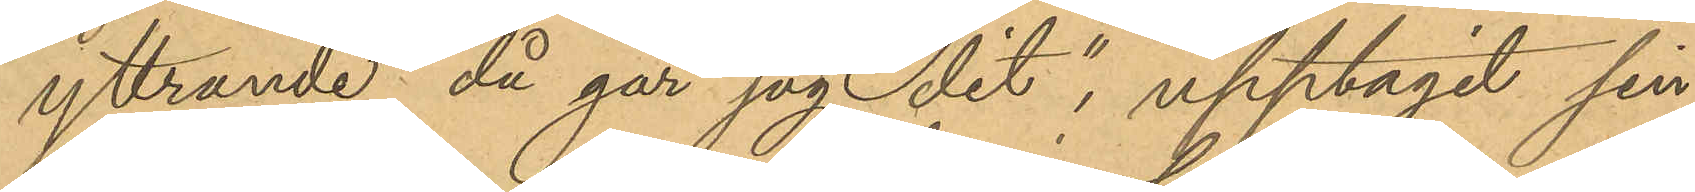yttrande "då går jag dit", upptagit sin
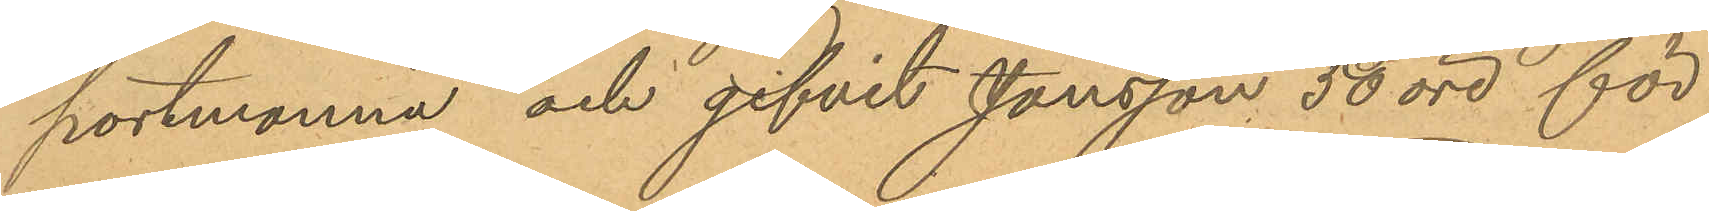portmonnä och gifvit Jansson 50 öre för
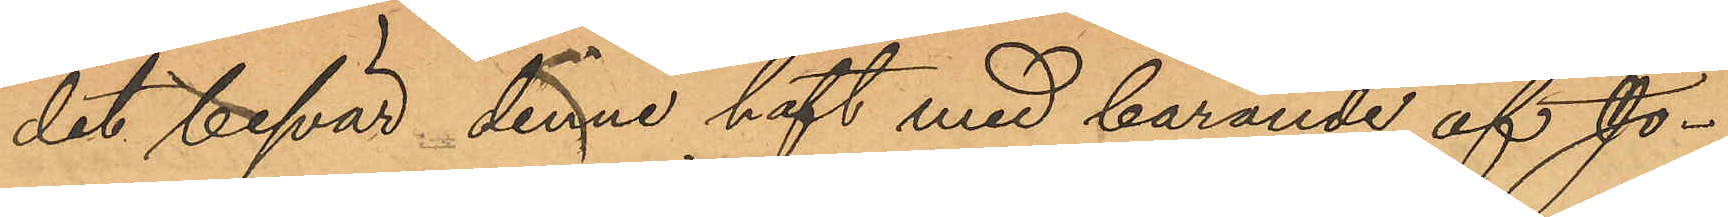det besvär, denne haft med bärande af Jo¬
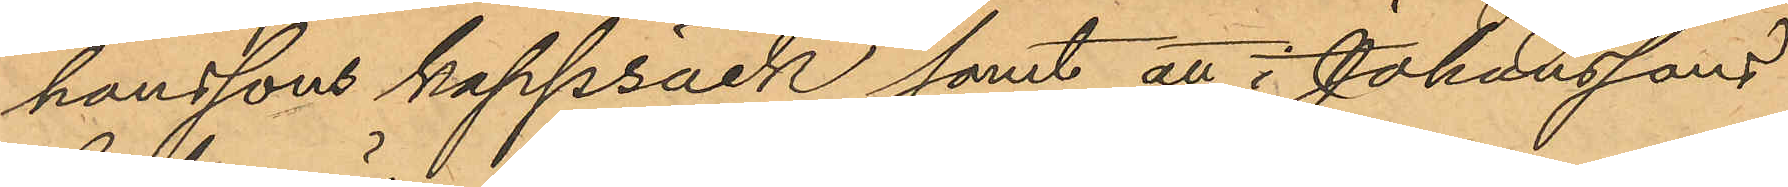hanssons kappsäck samt att i Johanssons
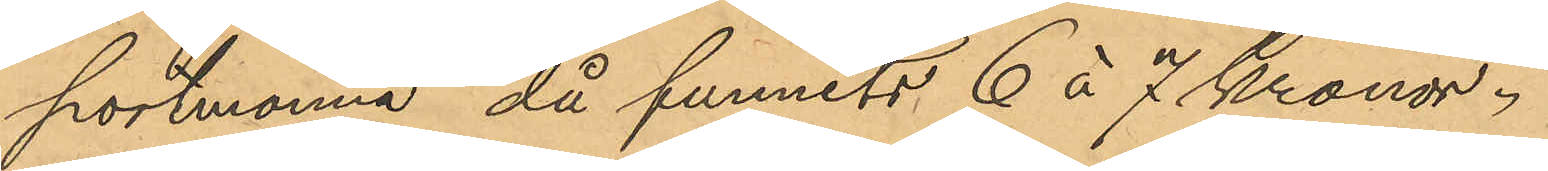portmonnä, då funnits 6 à 7 Kronor.
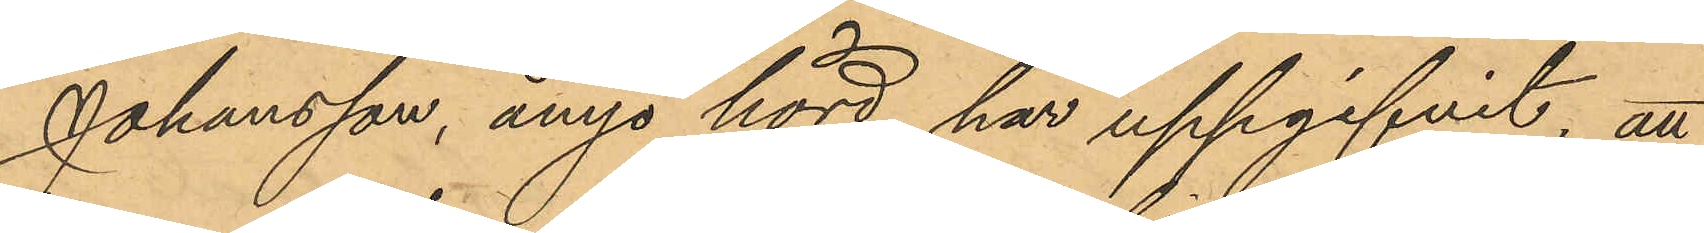Johansson, ånyo hörd, har uppgifvit, att
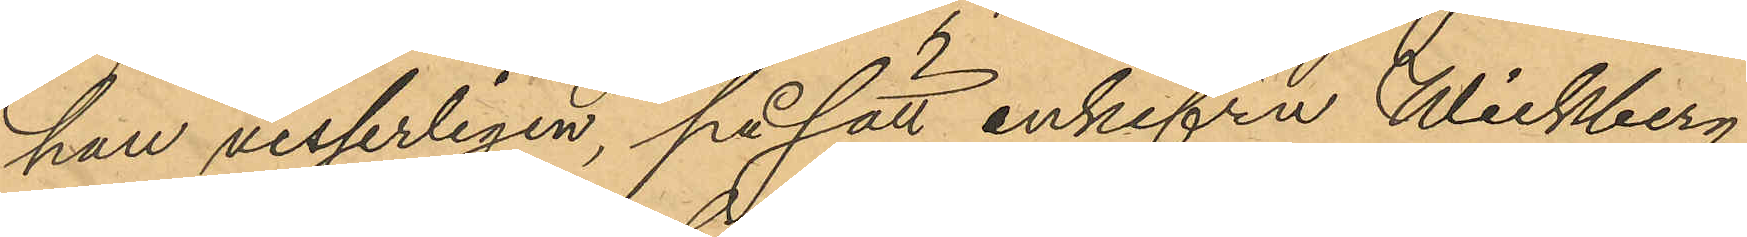han visserligen, på sätt enkefru Wickberg
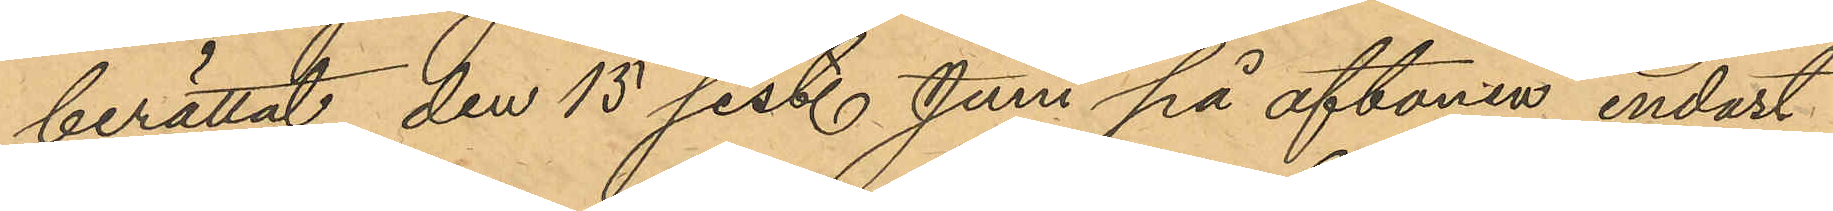berättat den 15 sistl. Juni på aftonen endast
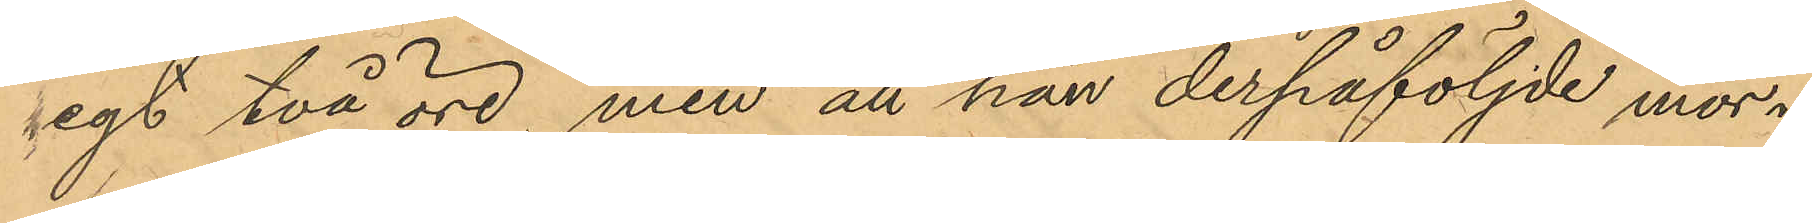egt två öre, men att han derpåföljde mor¬
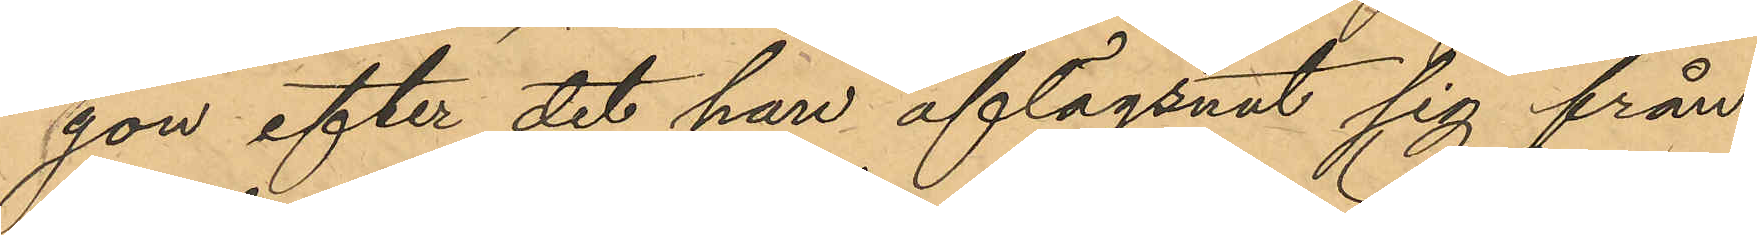gon efter det han aflägsnat sig från
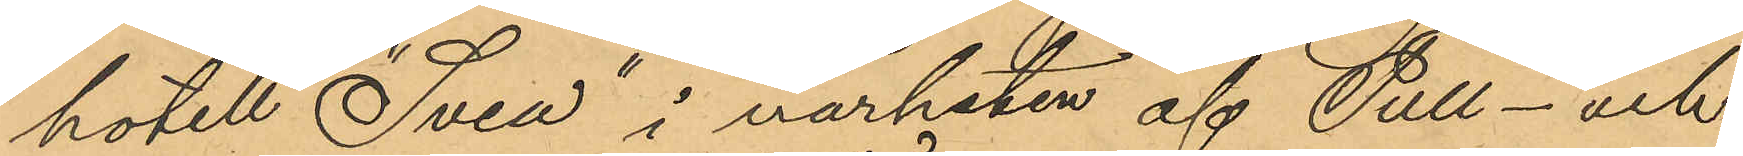hotell "Svea" i närheten af Tull- och
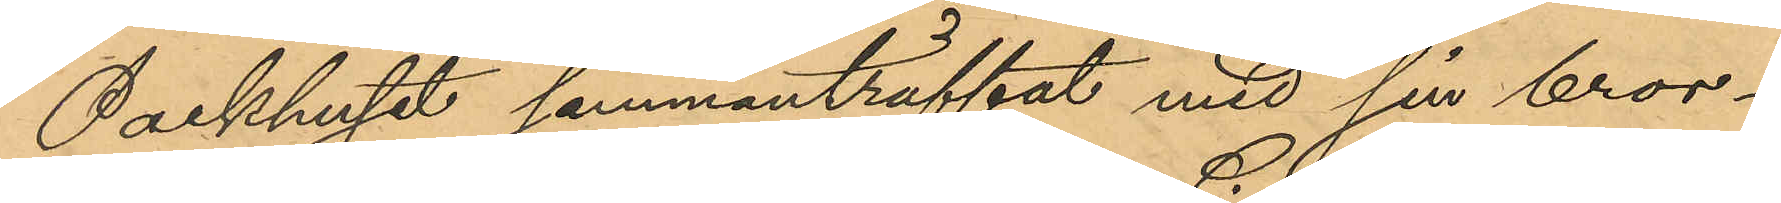Packhuset sammanträffat med sin bror¬
